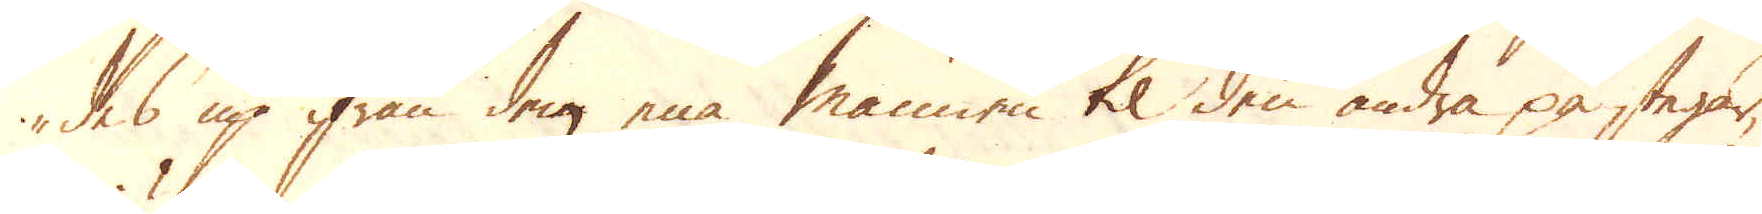des up ifrån den ena mannen til den andra på stegar,
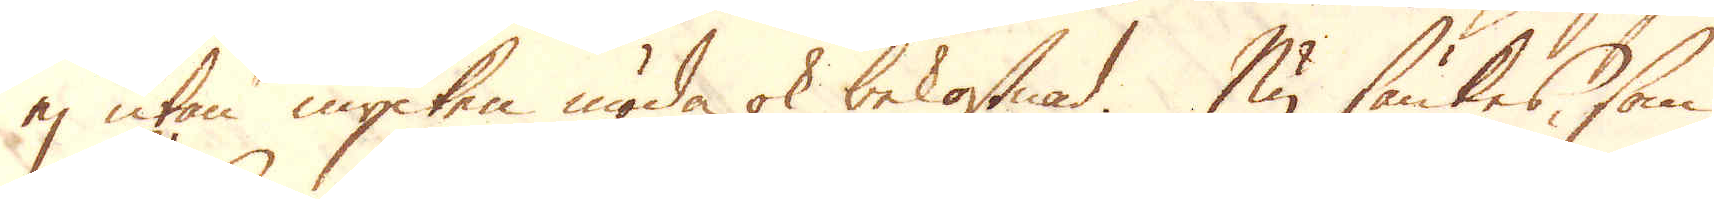ej utan mycken möda ok bekostnad. Nu sänkes, som
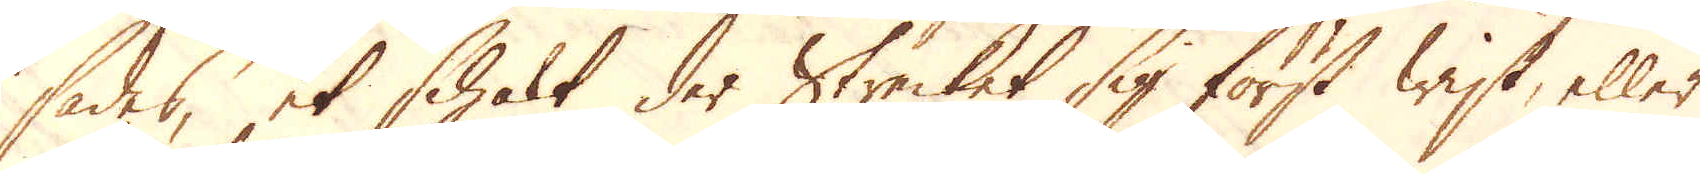sades, et schakt der Strecket sig först wist, eller
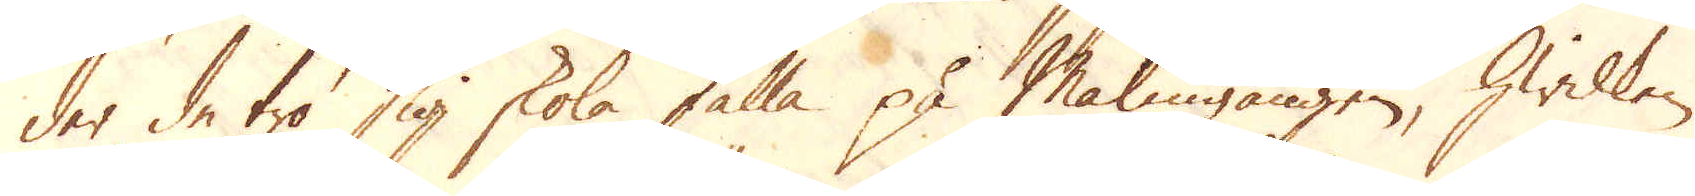der de tro sig skola falla på Malmgången, hwilken
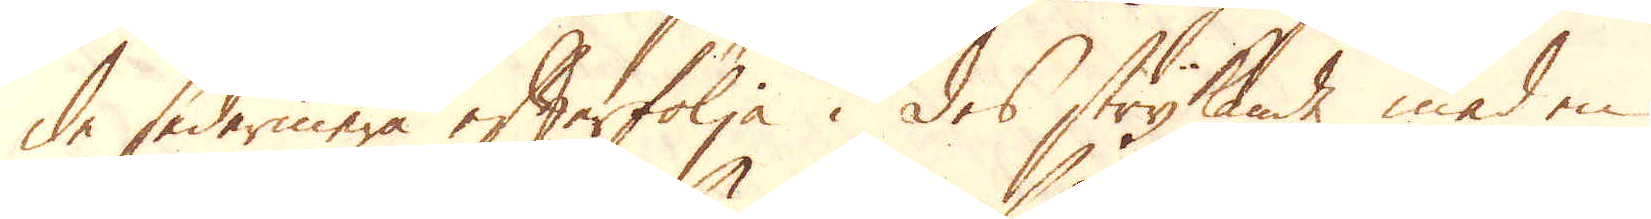de sedermera efterfölja i des strykande med en
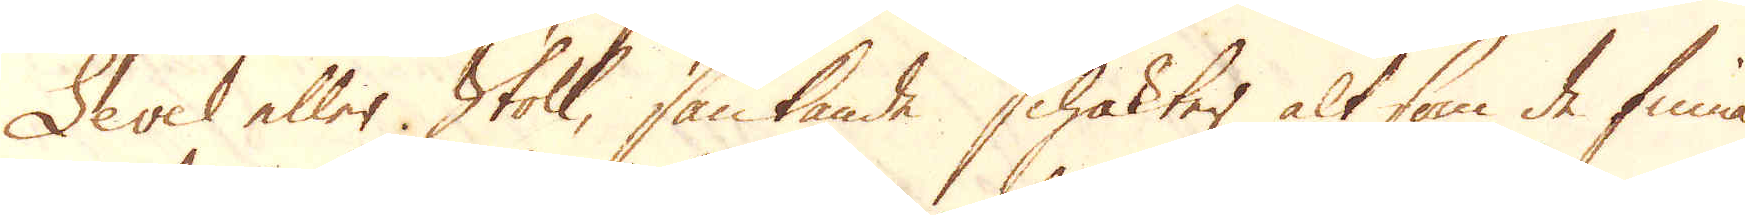Level eller Stoll, sänkande schakter alt som de finna
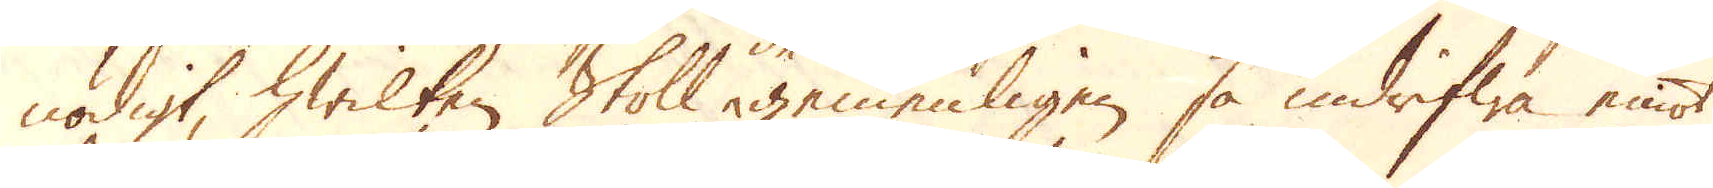nödigt, hwilken Skoll, gemenligen så indrifwa emot
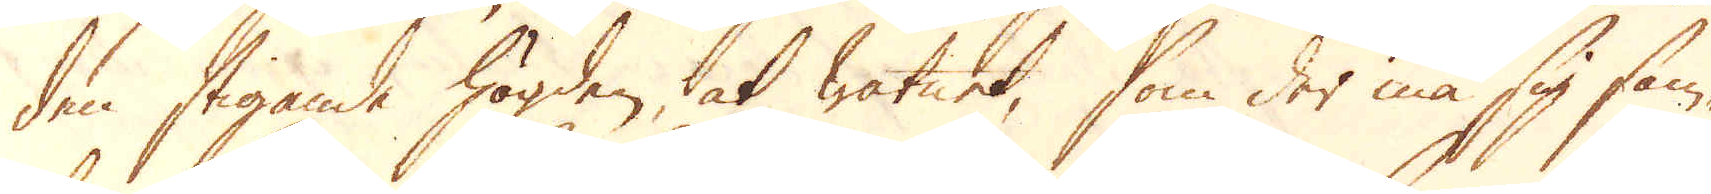den stigande högden, at watnet, som der må sig sam-
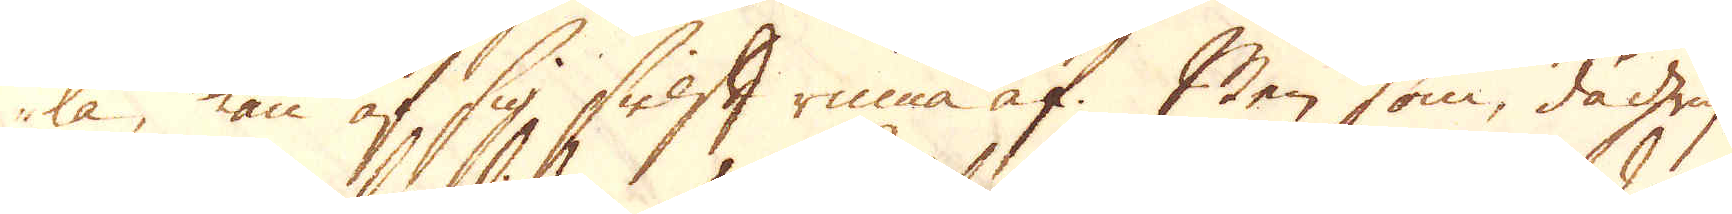la, kan af sig sielft rinna af. Men som, då gruf-
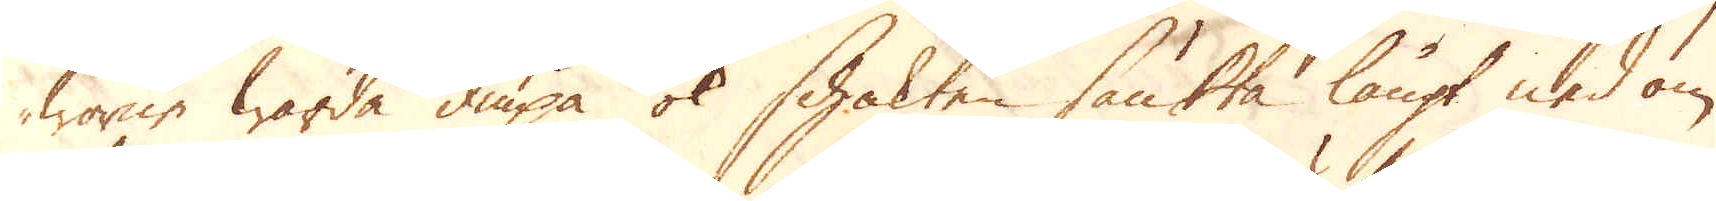worne warda diupa ok schakten sänkta långt ned om
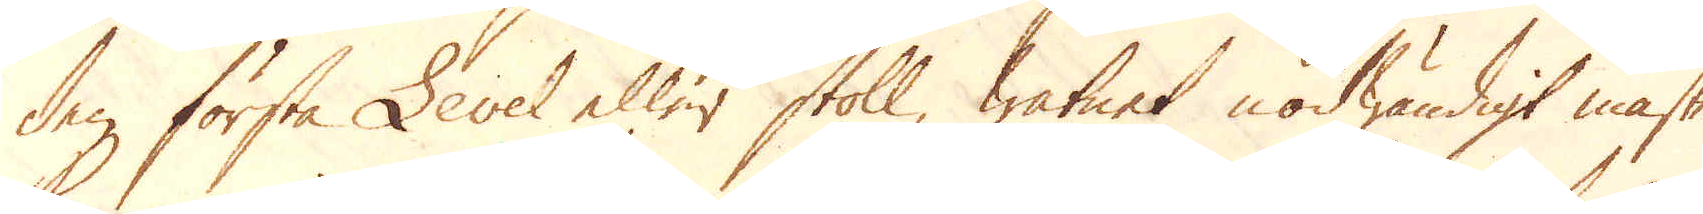den första Lever eller stoll, watnet nödwändigt måste
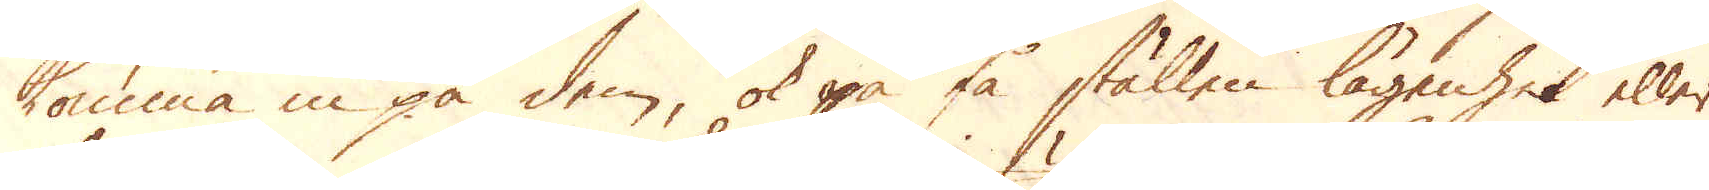komma in på dem, ok på få ställen lägenhet eller
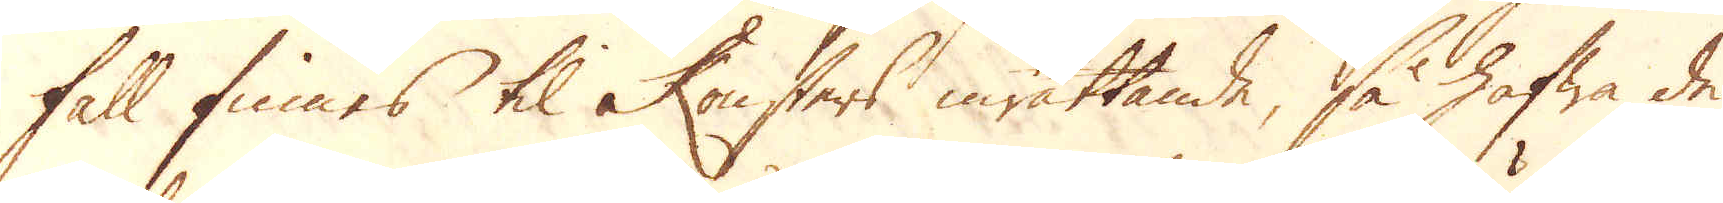fall finnes til konsters inrättande, så hafwa de
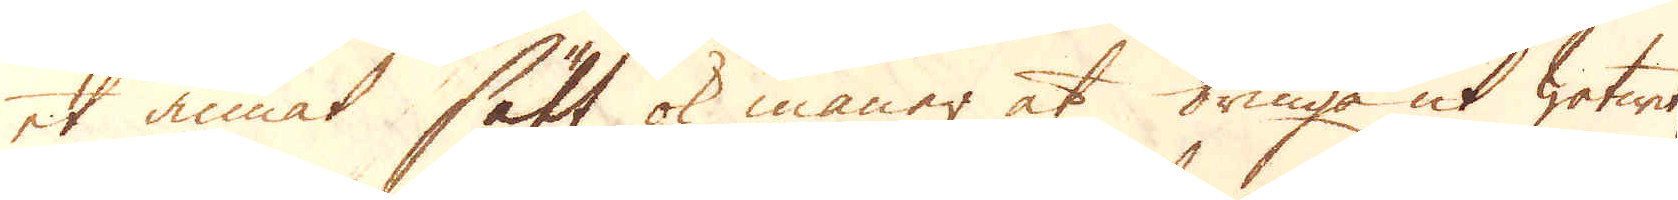et annat sätt ok maner at bringa ut watnet,
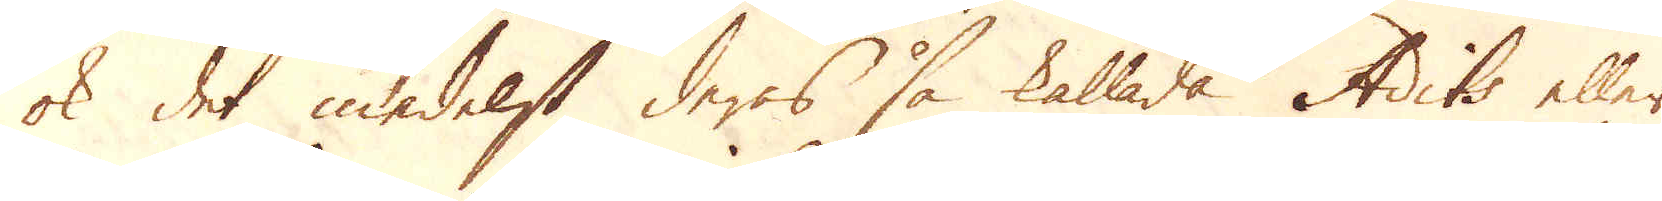ok det medelst deras så kallade Adits eller
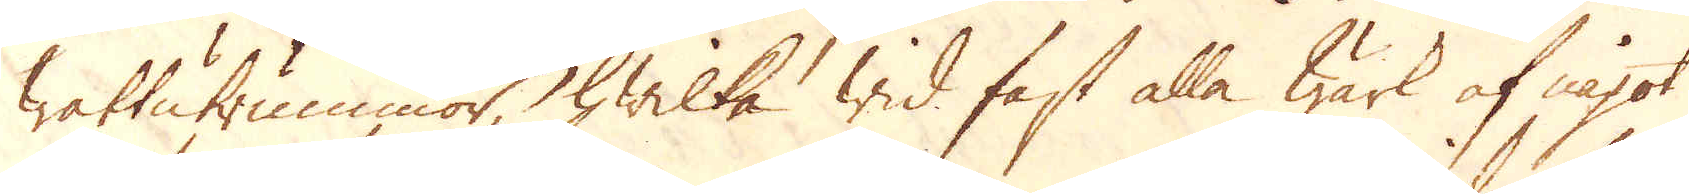wattutrummor, hwilka wid fast alla wärk af något
